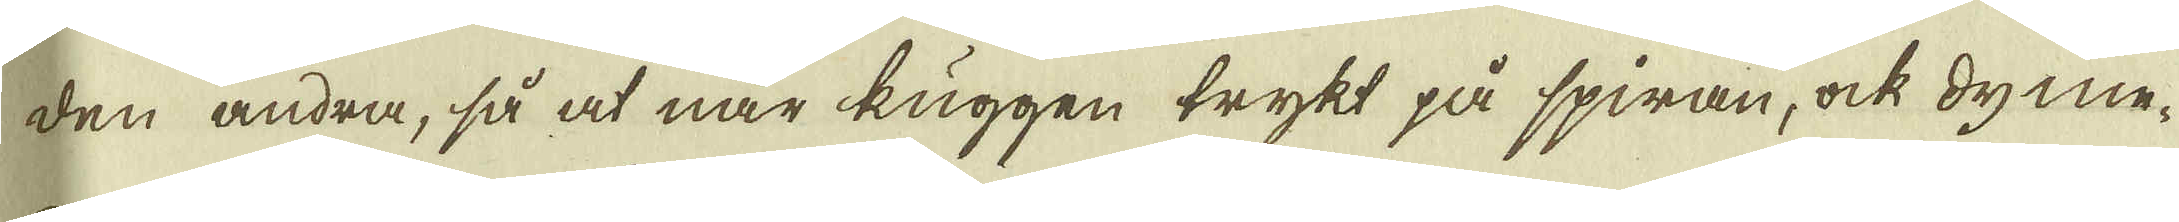den andra, så at när kuggen trykt på spiran, ock dyme-
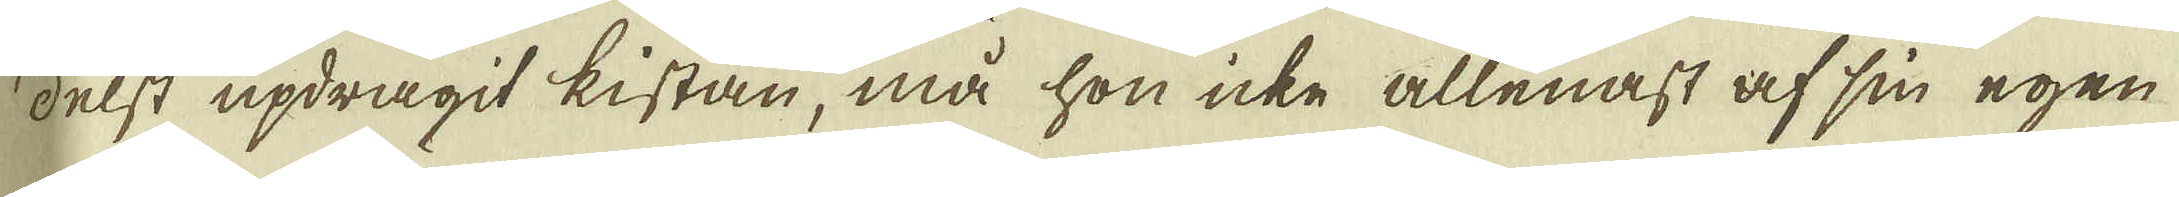delst updragit kistan, må hon icke allenast af sin egen
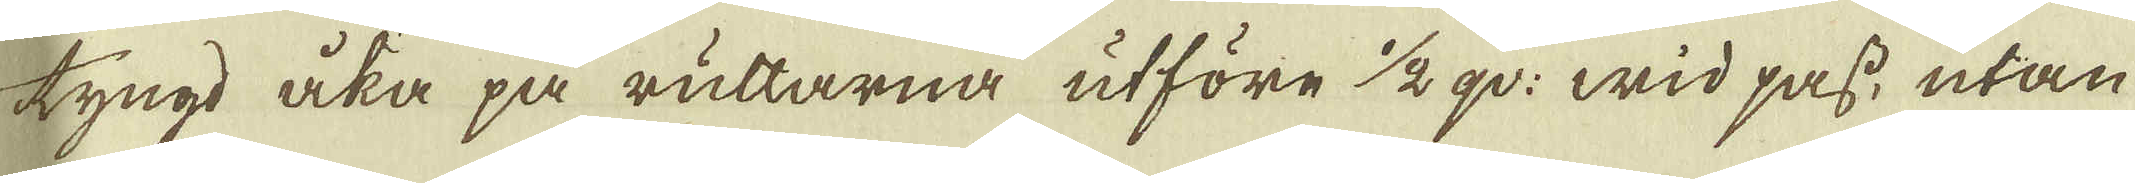tyngd åka på ruttarna utföre 1/2 qv: wid pass, utan
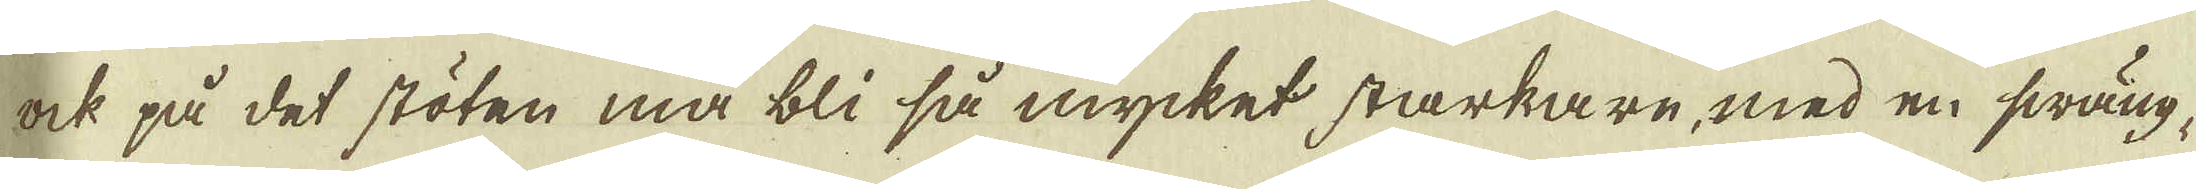ock på det stöten må bli så mycket starkare, med en swäng-
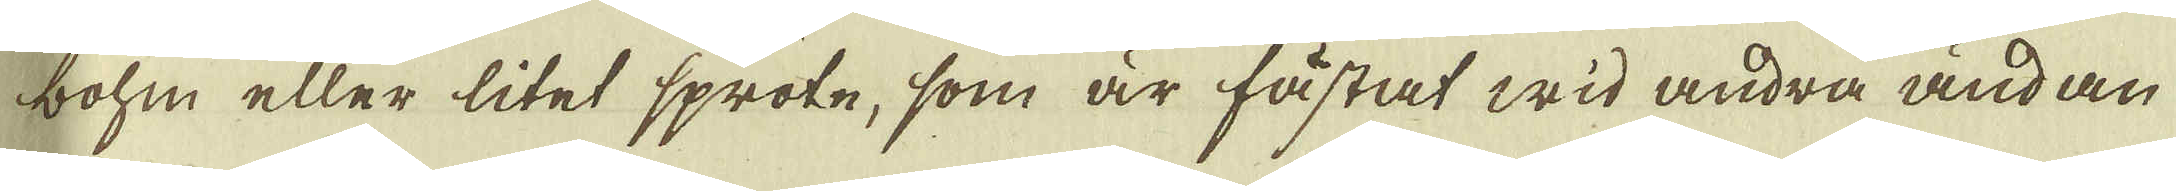bohm eller litet spröte, som är fästat wid andra ändan
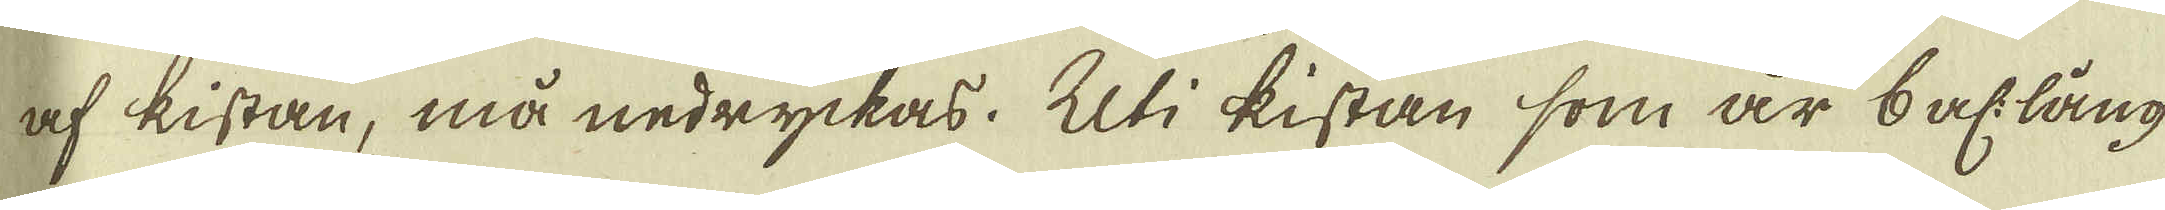af kistan, må nedryckas. Uti kistan som är 6 al: lång
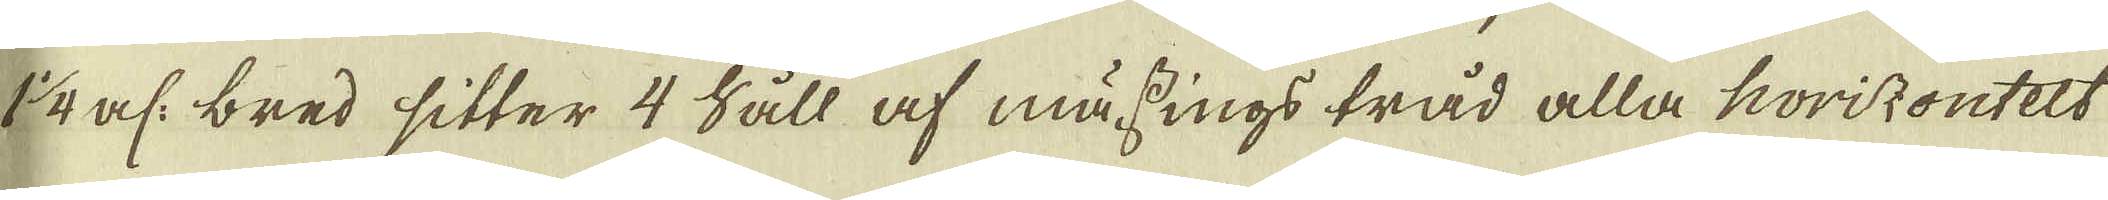1 1/4 al: bred sitter 4 Såll af mässings tråd alla horizontelt
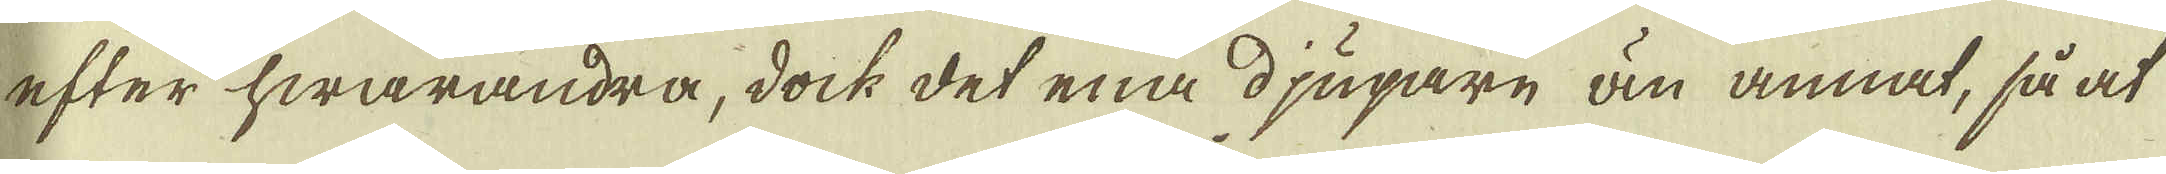efter hwarandra, dock det ena djupare än annat, så at
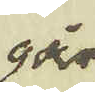går
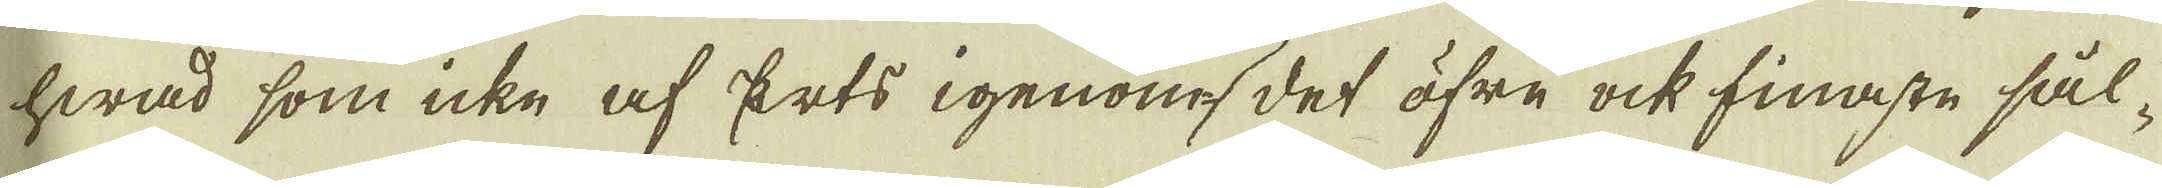hwad som icke af Erts igenom det öfre ock finaste sål-
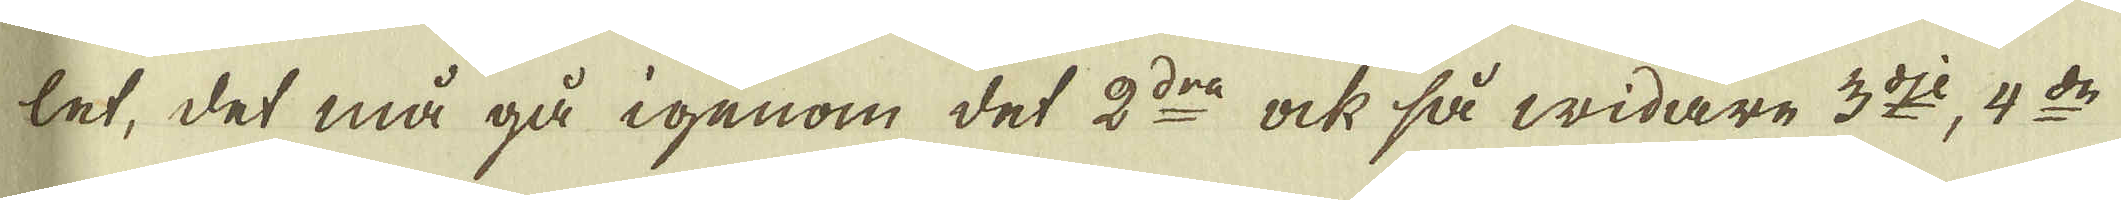let, det må gå igenom det 2:dra ock så widare 3:dje, 4:de
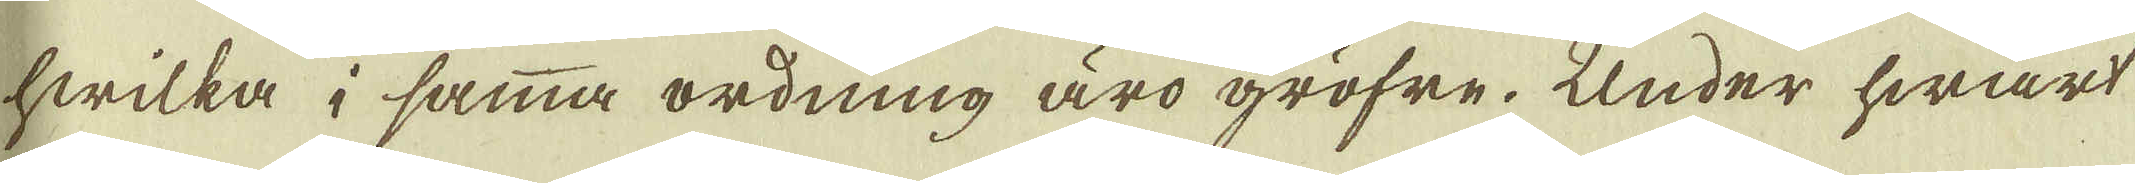hwilka i samma ordning äro gröfre. Under hwart
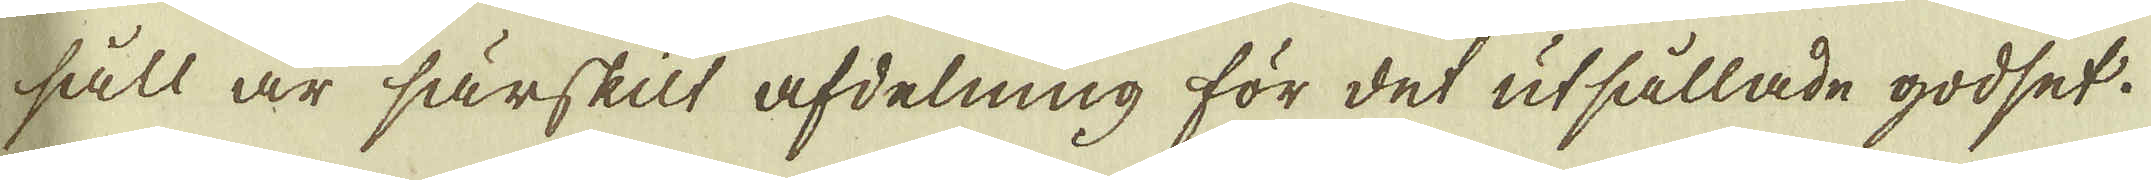såll är särskilt afdelning för det utsållade godset.
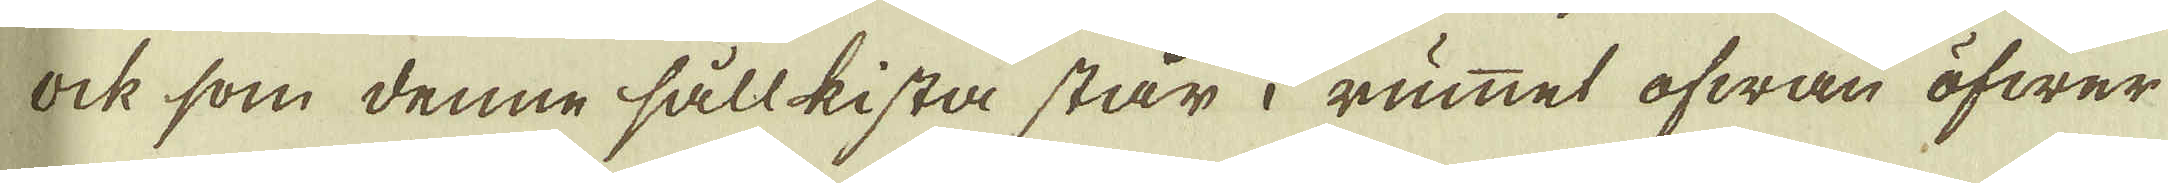Ock som denne sållkista står i rummet ofwan öfwer
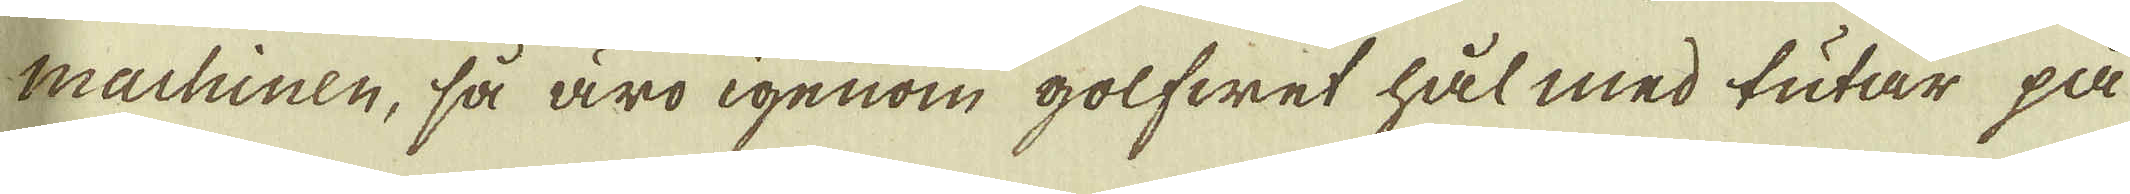machinen, så äro igenom golfwet hål med tutar på
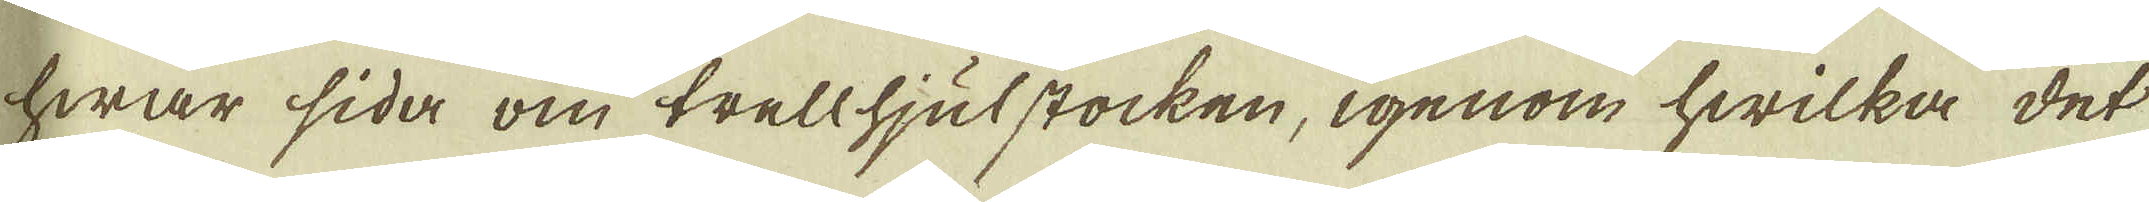hwar sida om trellhjulstocken, igenom hwilka det
